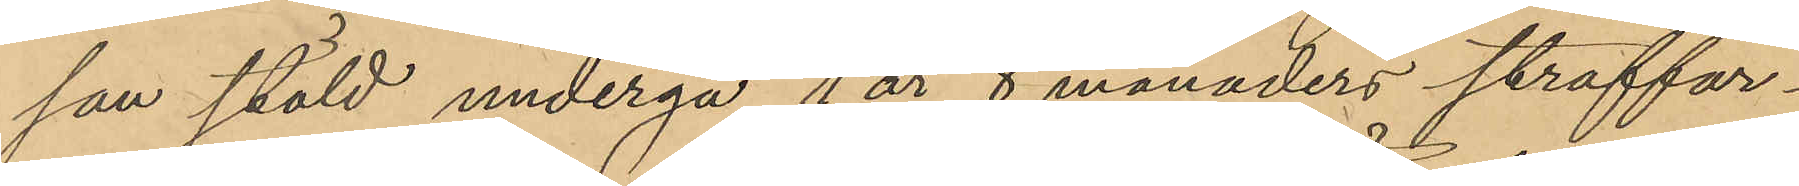san stöld undergå 1 år 8 månaders straffar¬
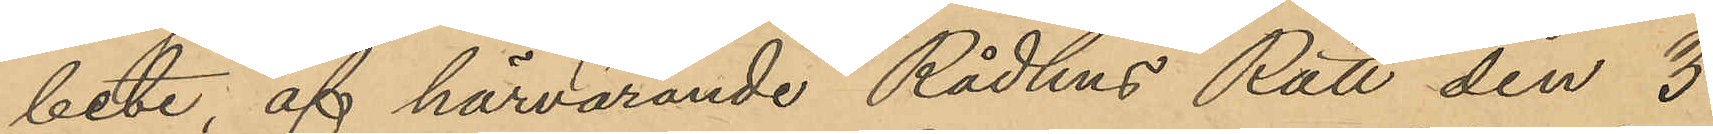bete, af härvarande Rådhus Rätt den 3
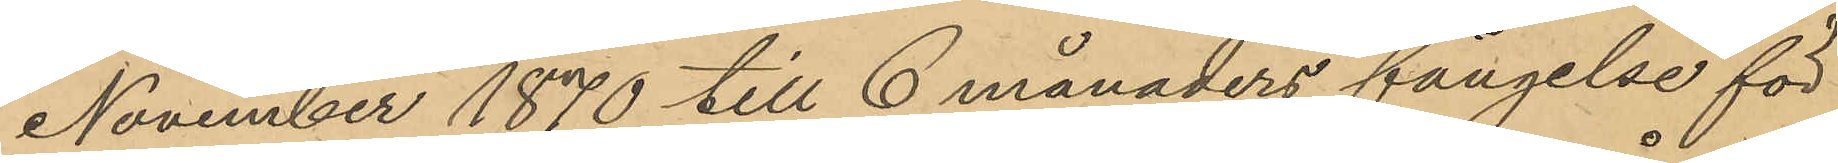November 1870 till 6 månaders fängelse för
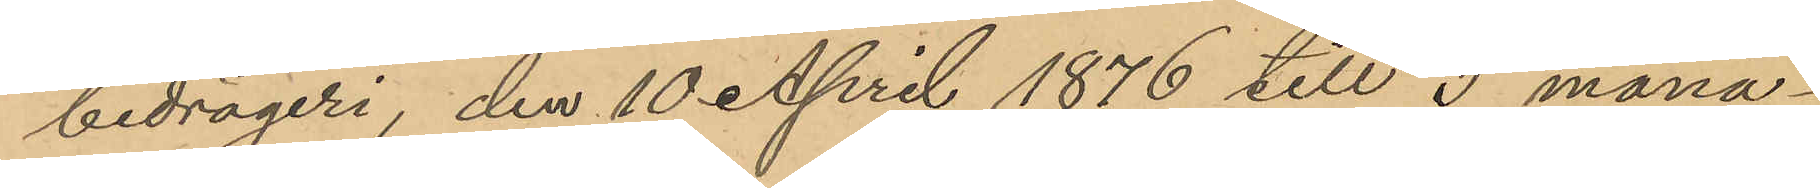bedrägeri, den 10 April 1876 till 3 måna¬
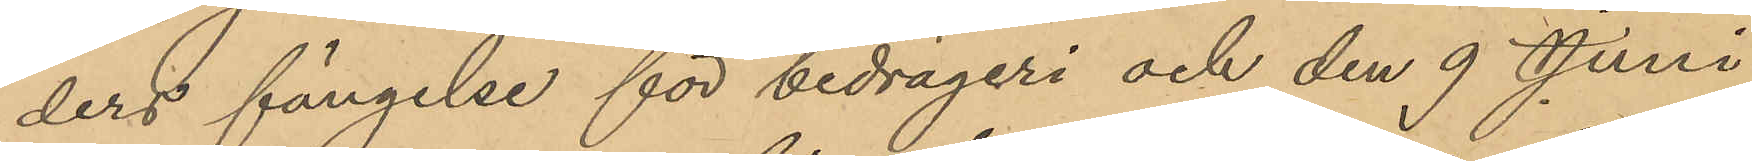ders fängelse för bedrägeri och den 9 Juni
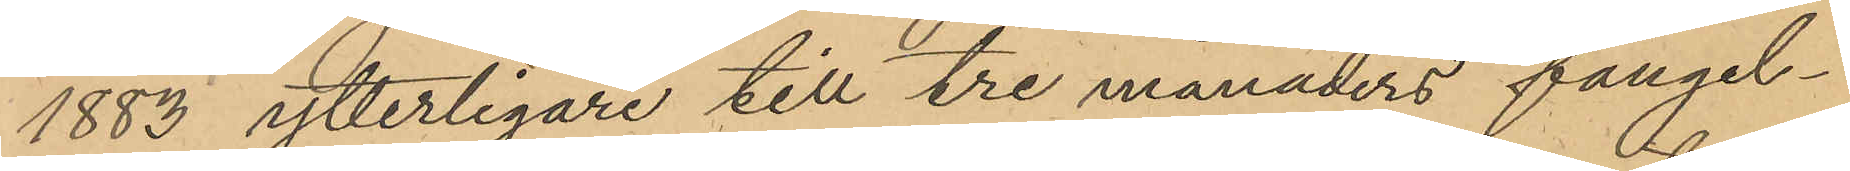1883 ytterligare till tre månaders fängel¬
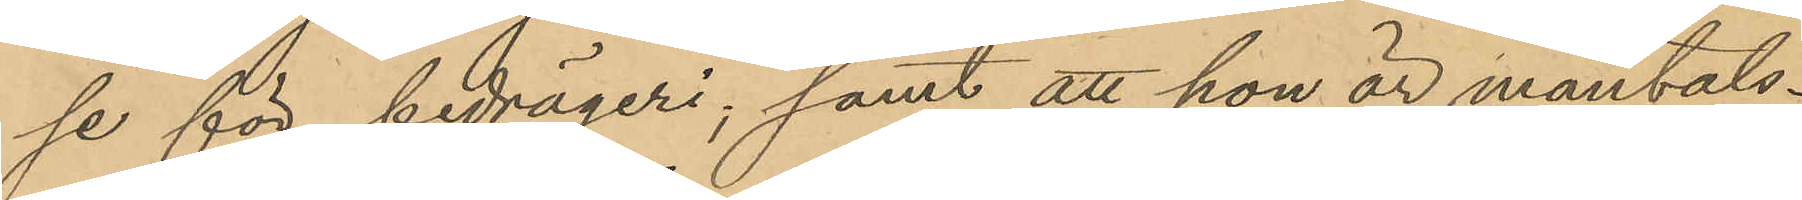se för bedrägeri; samt att hon är mantals¬
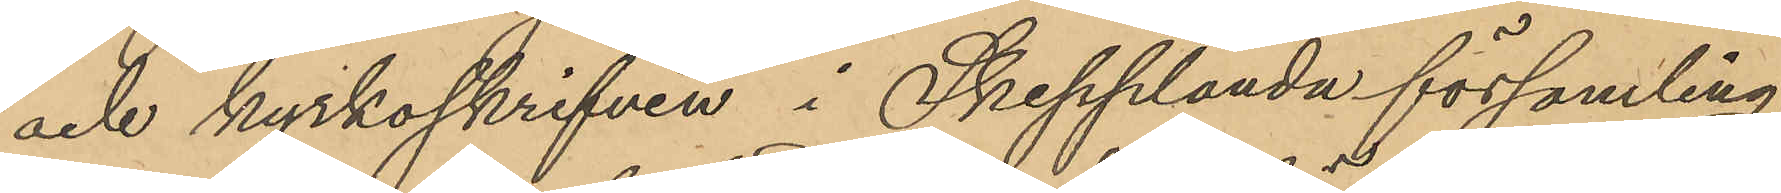och kyrkoskrifven i Skepplanda församling.
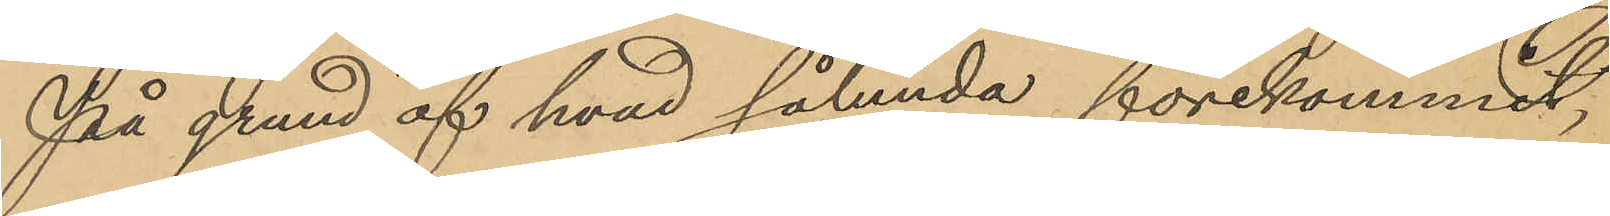På grund af hvad sålunda förekommit,
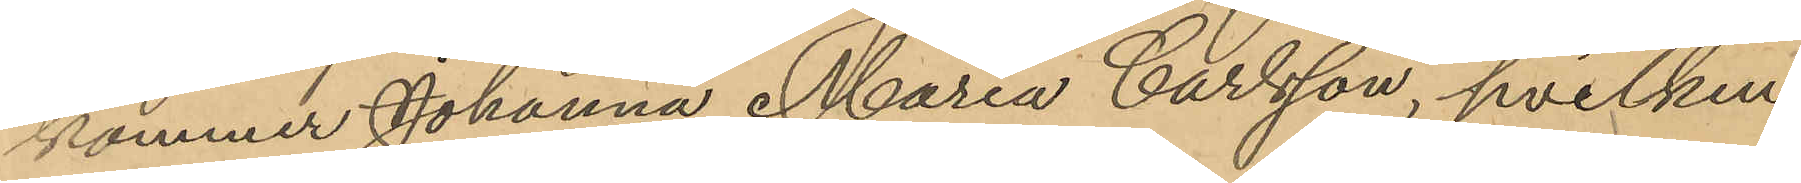kommer Johanna Maria Carlsson, hvilken
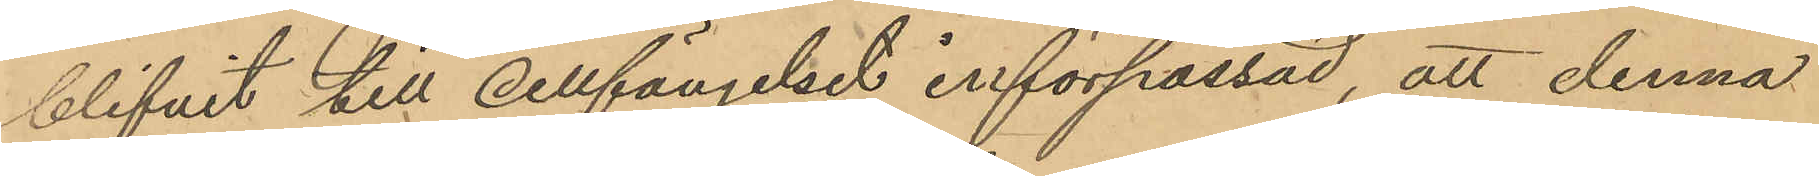blifvit till cellfängelset införpassad, att denna
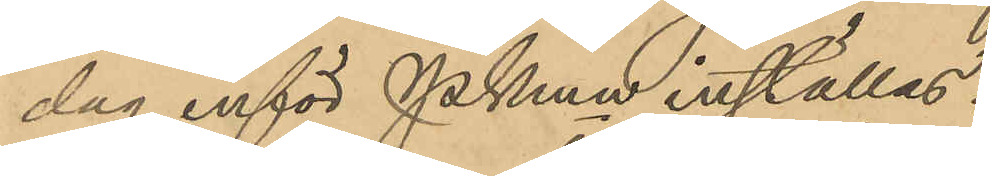dag inför PKmn inställas.
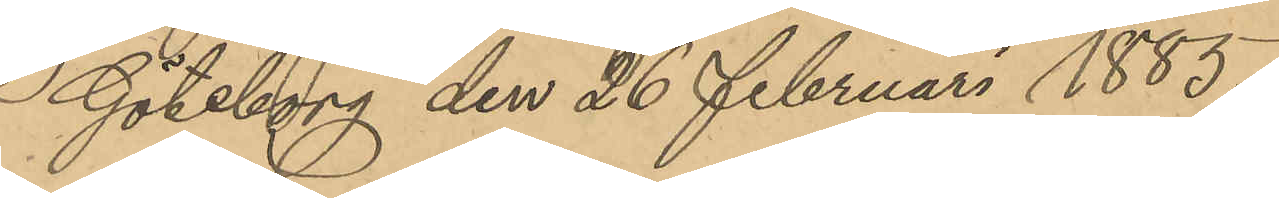Göteborg den 26 februari 1885.
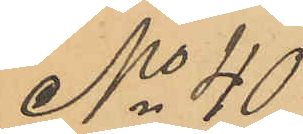No 40
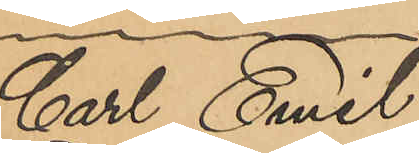Carl Emil
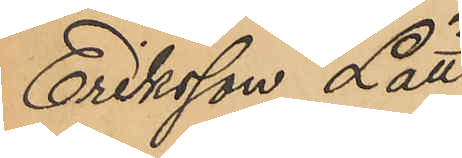Eriksson Lätt
